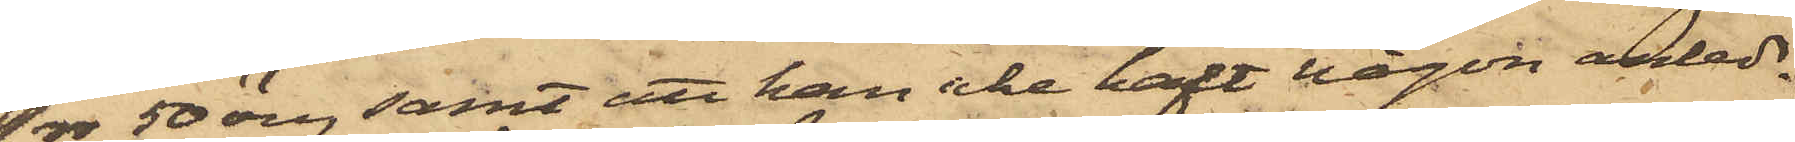1rdr 50 öre, samt att han icke haft någon anled¬
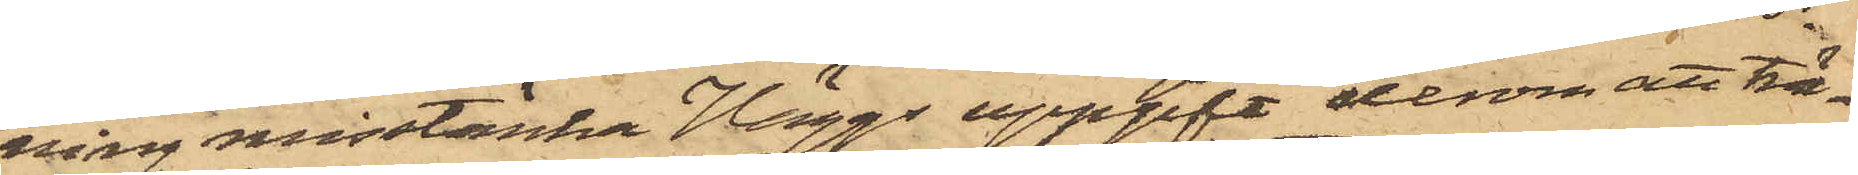ning misstänka Häggs uppgift derom att trä¬
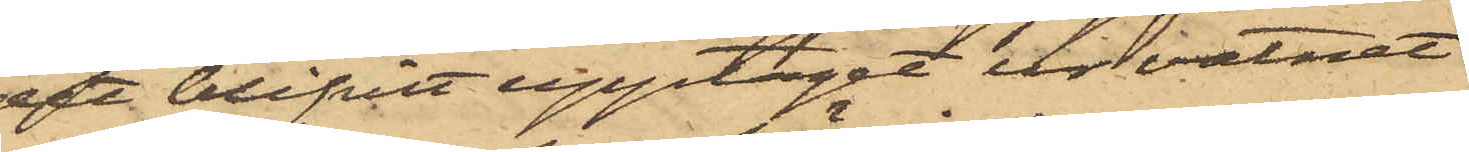det blifvit upptagit ur vatnet.
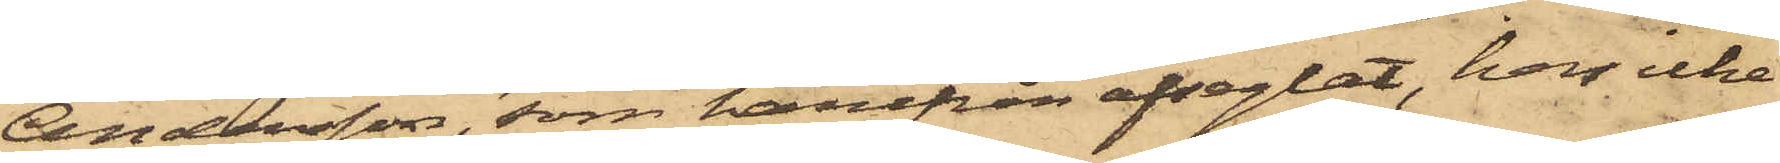Andersson, som härifrån afseglat, har icke
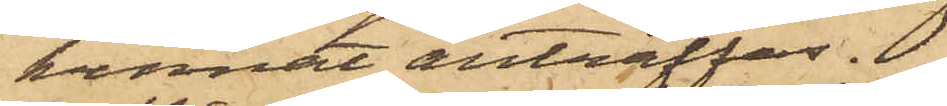kunnat anträffas.
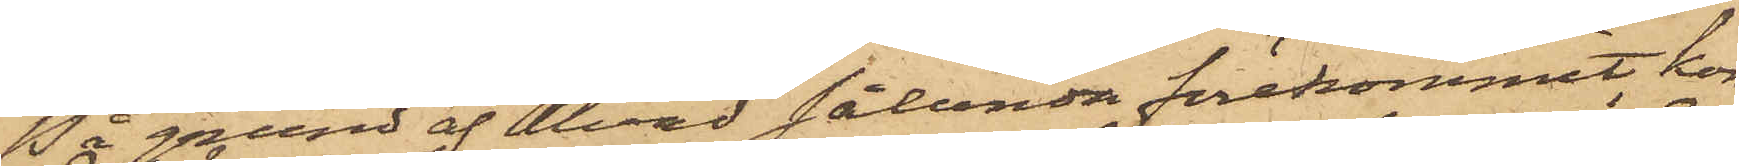På grund af hvad sålunda förekommit, kom¬
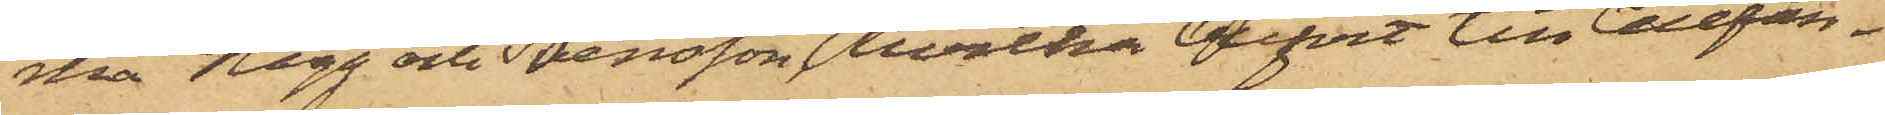ma Hägg och Svensson, hvilka blifvit till Cellfän¬
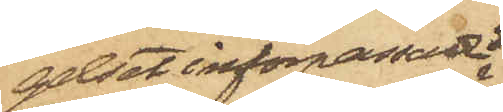gelset införpassade
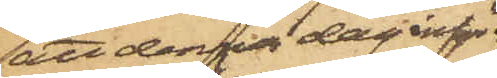att denna dag inför
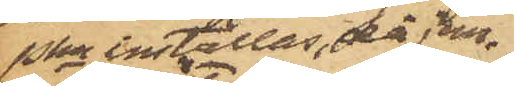Pkn inställas, då jem¬
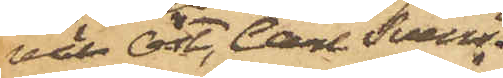väl Öst, Carl Svens¬
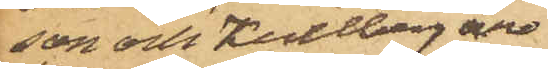son och Kullberg äro
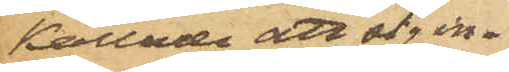kallade att sig in¬
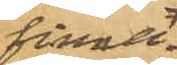finna.
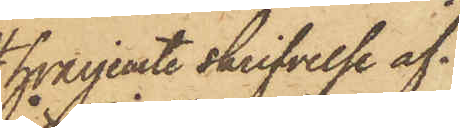hvarjemte skrifvelse af¬
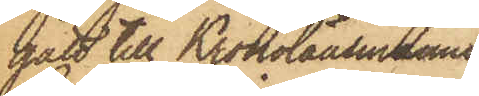gått till Kronolänsmannen
